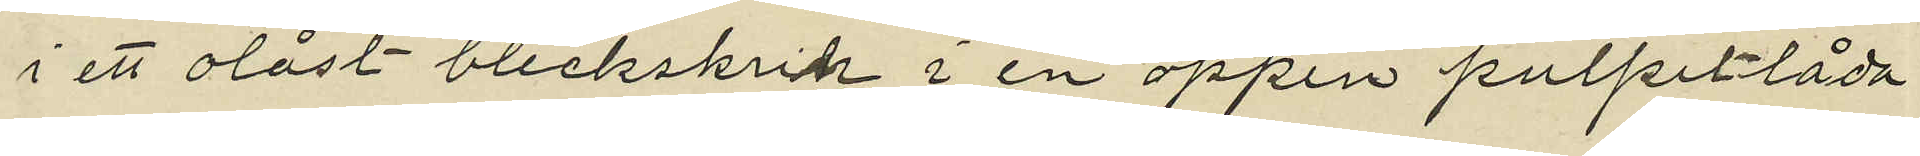i ett olåst bleckskrin i en öppen pulpetlåda
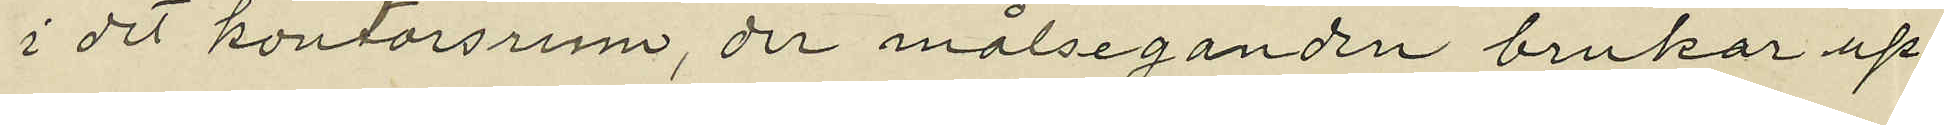i det kontorsrum, der målseganden brukar up¬
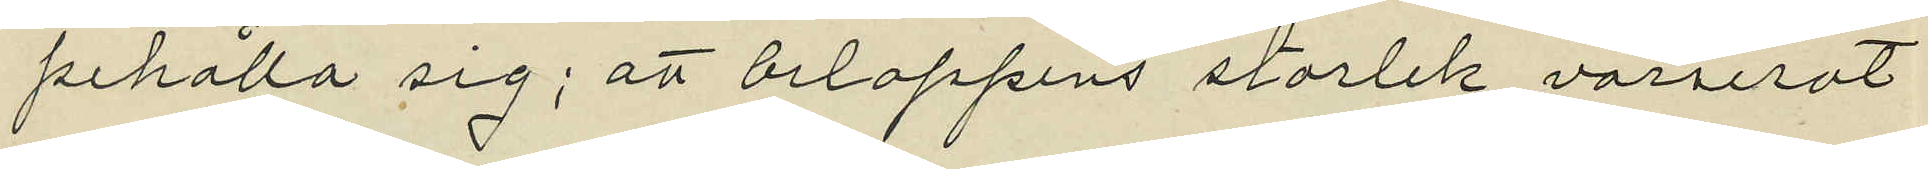pehålla sig; att beloppens storlek varierat
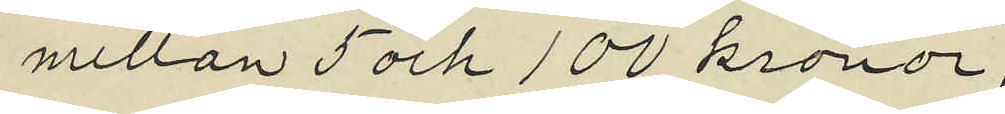mellan 5 och 100 kronor;
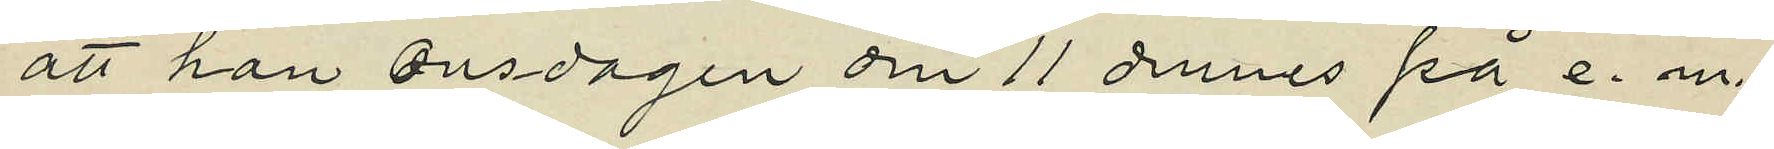att han onsdagen den 11 dennes på e. m.
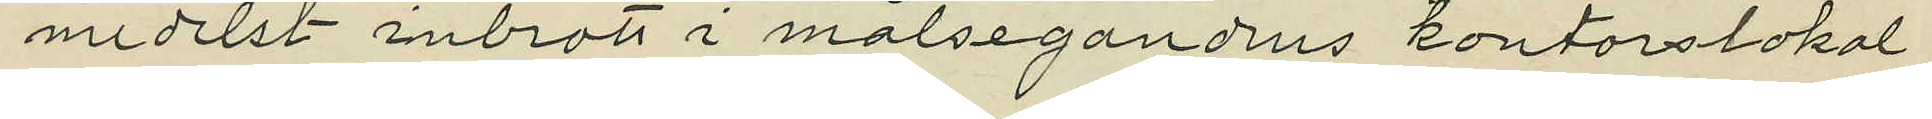medelst inbrott i målsegandens kontorslokal
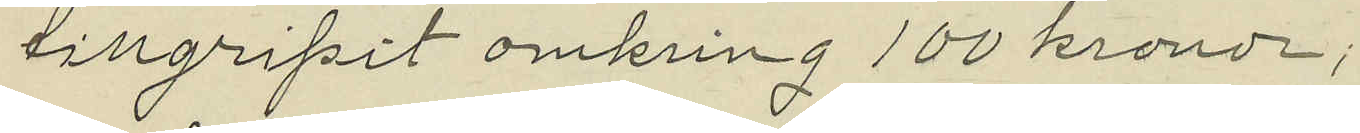tillgripit omkring 100 kronor;
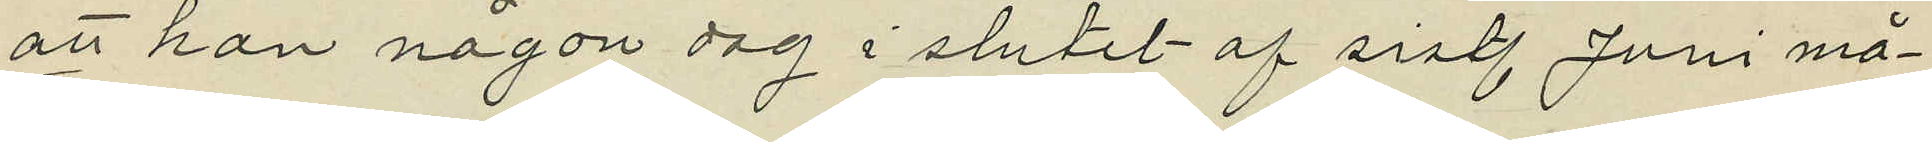att han någon dag i slutet af sistl. Juni må¬
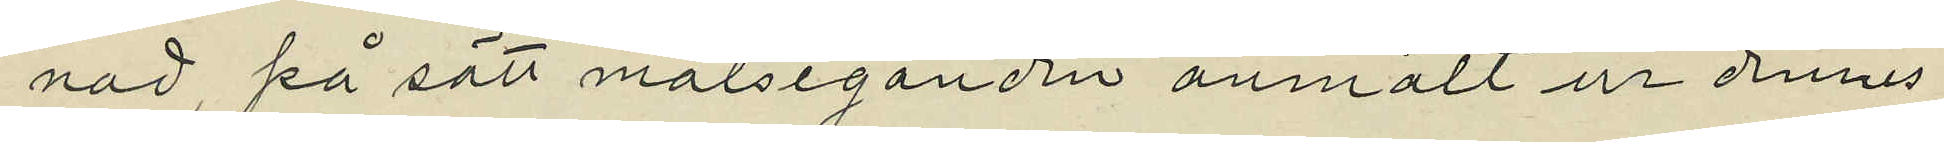nad, på sätt målseganden anmält ur dennes
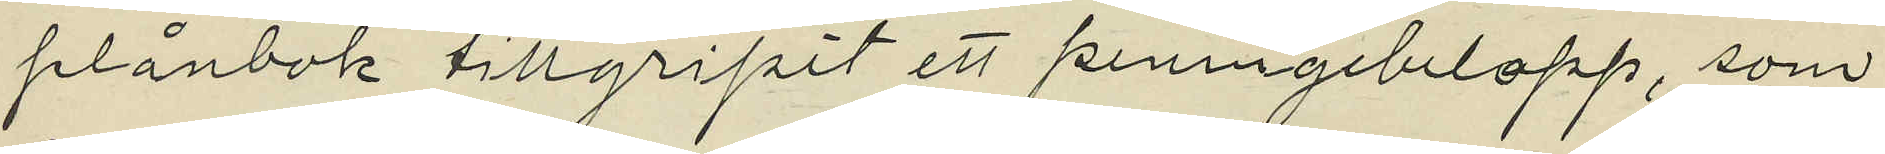plånbok tillgripit ett peningebelopp, som
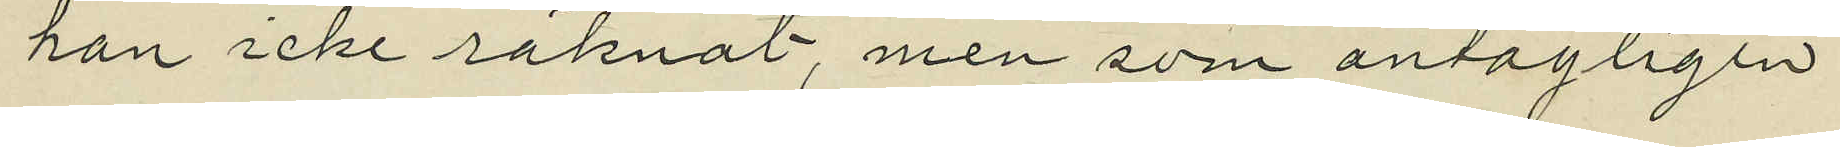han icke räknat, men som antagligen
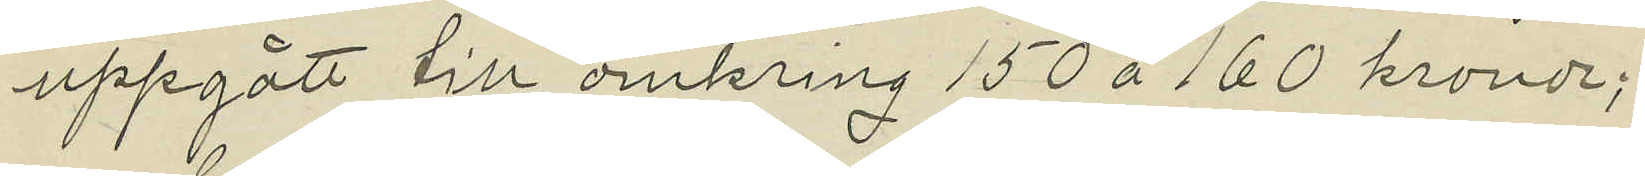uppgått till omkring 150 à 160 kronor;
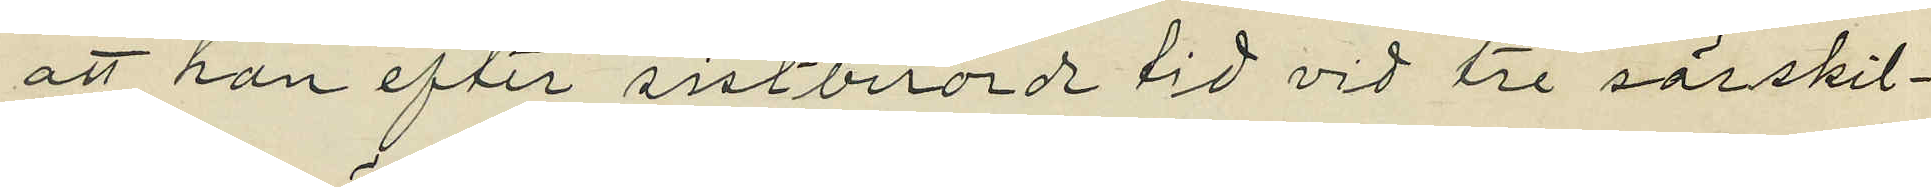att han efter sistberörde tid vid tre särskil¬
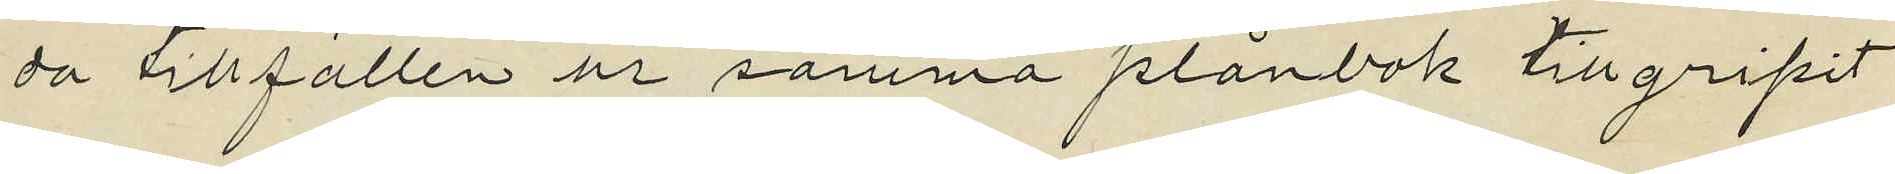da tillfällen ur samma plånbok tillgripit
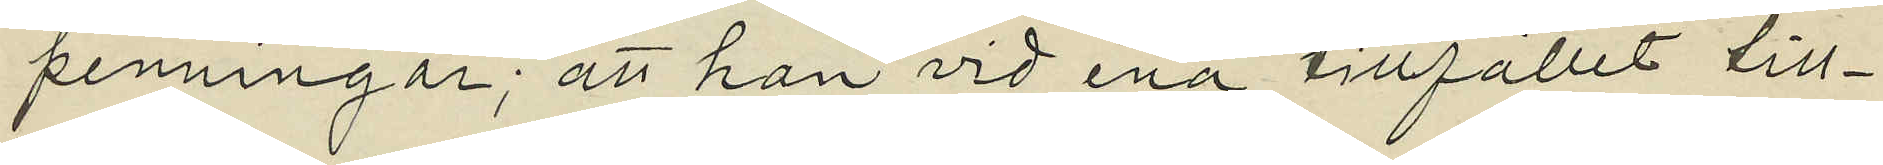penningar; att han vid ena tillfället till¬
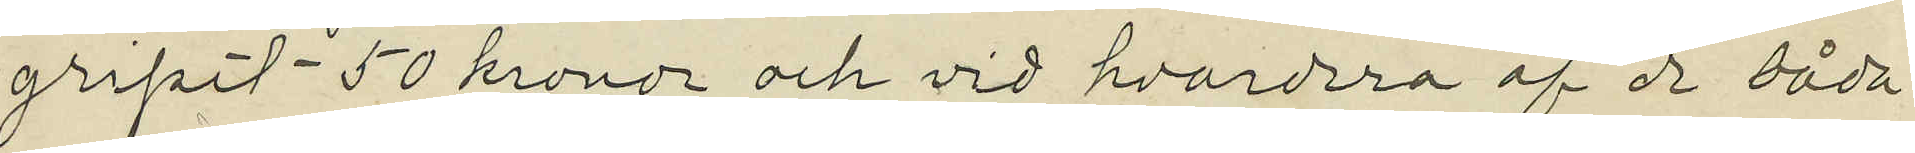gripit 50 kronor och vid hvardera af de båda
